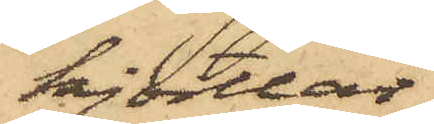kjortlar
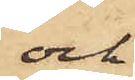och
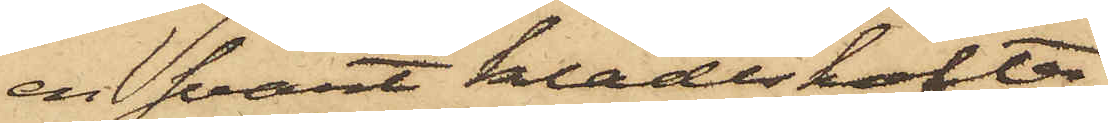en svart klädeskofta;
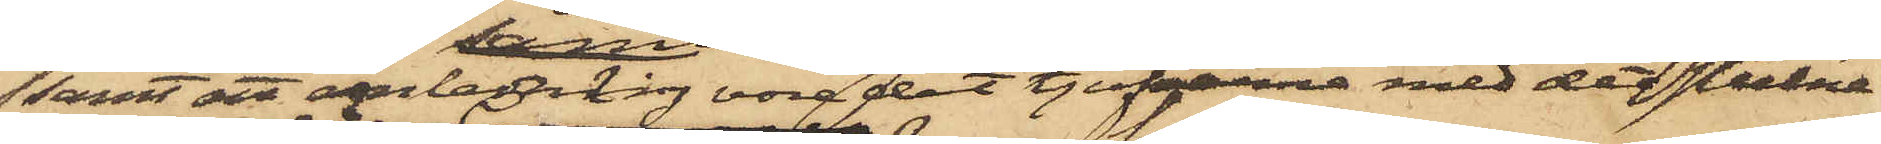samt att anledning vore det tjufarne med det stulna
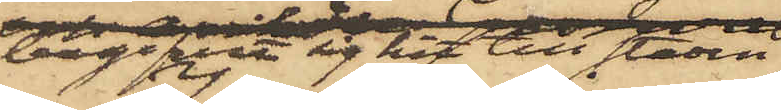begifvit sig hit till staden.
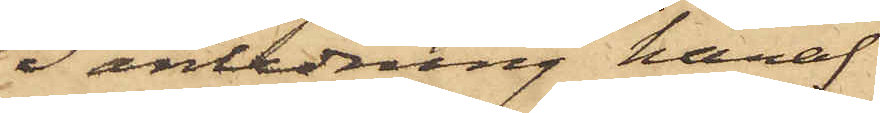I anledning häraf
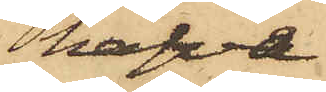hafva
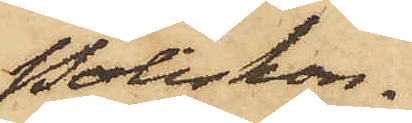Poliskon¬
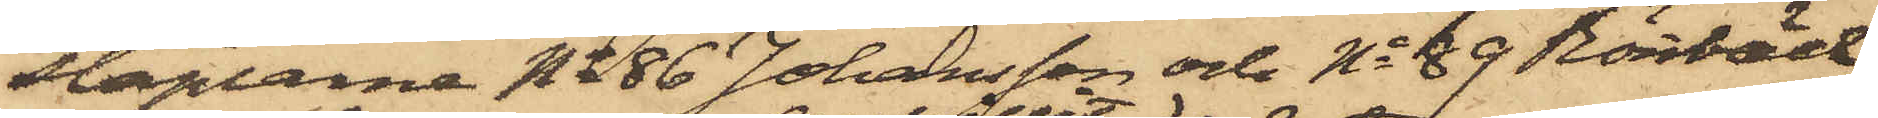staplarne No 86 Johansson och No 89 Rönnbäck
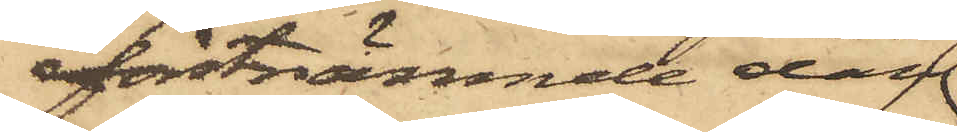förstnämnde dag
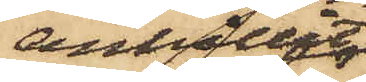anhållit
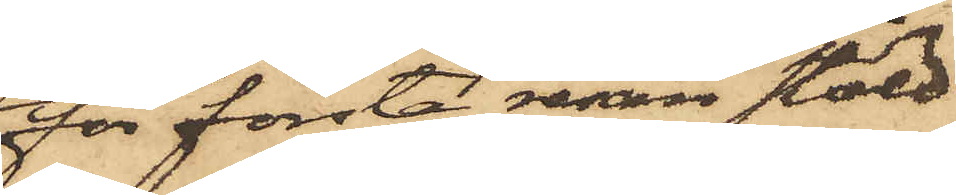för första resan stöld
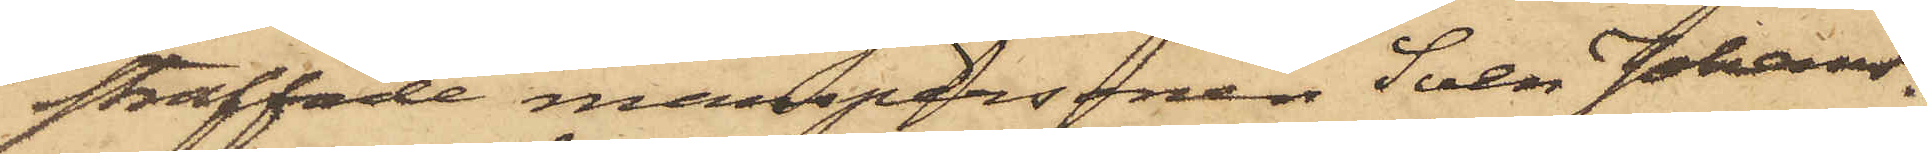straffade manspersonen Sven Johans¬
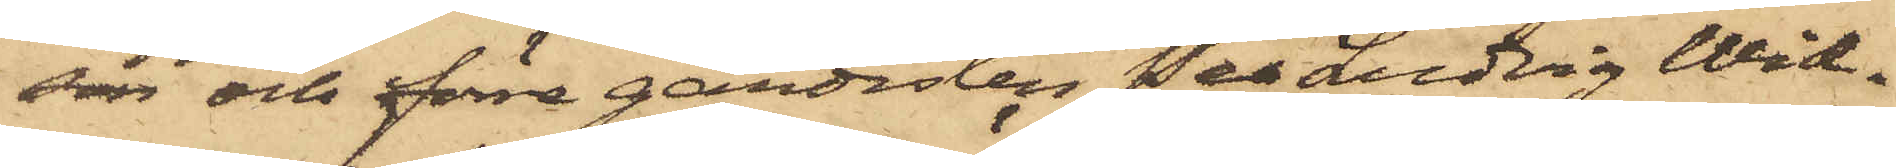son och förre gardisten Per Ludvig Wid¬
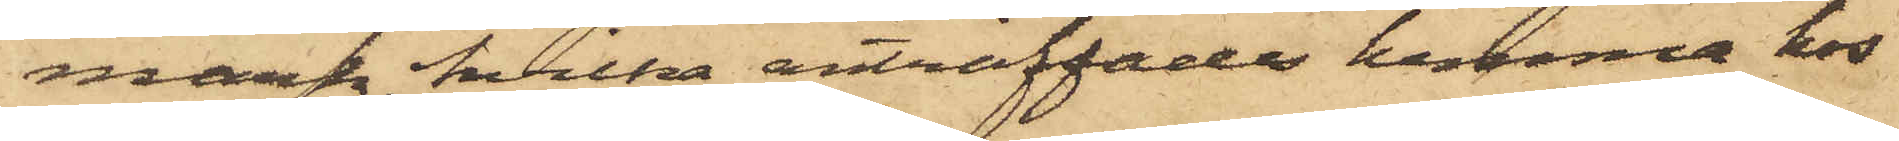mark, hvilka anträffades hemma hos
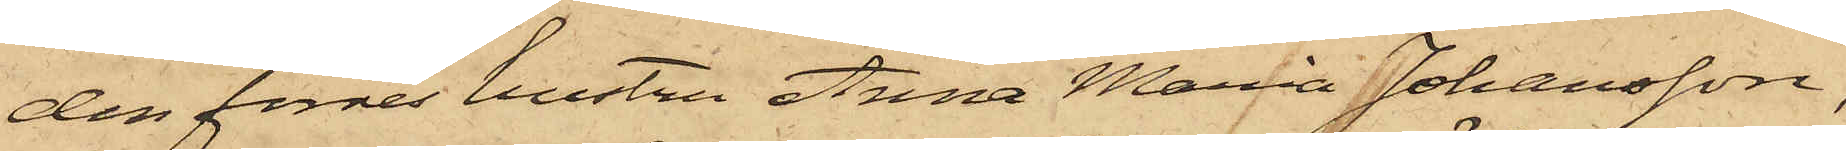den förres hustru Anna Maria Johansson,
